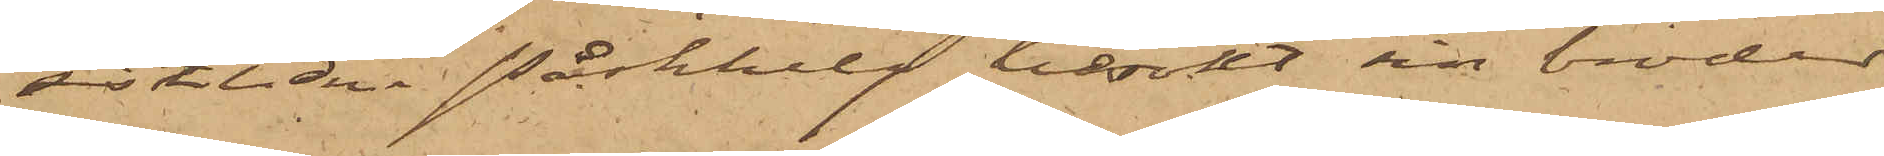sistlidne Påskhelg besökt sin broder
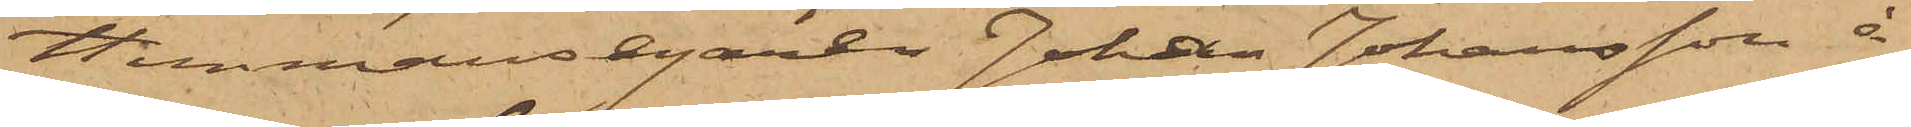Hemmansegaren Johan Johansson å
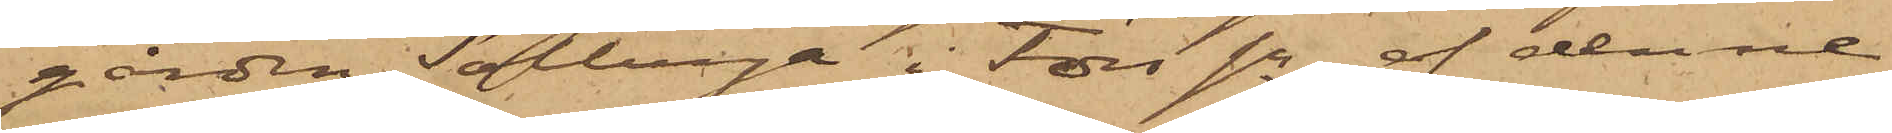gården Solberga i Fors sn, af denne
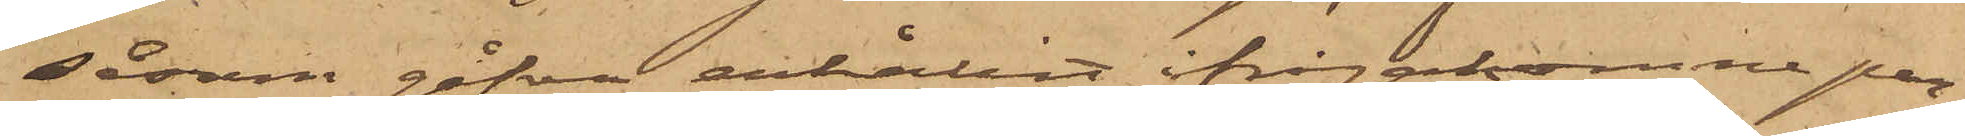såsom gåfva erhållit ifrågakomne par¬
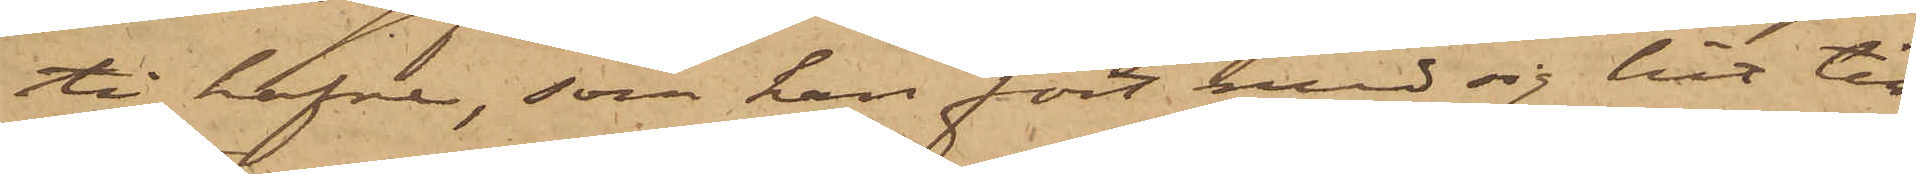ti hafve, som han fört med sig hit till
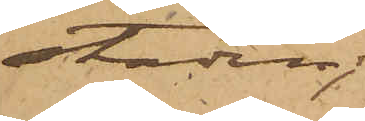staden;
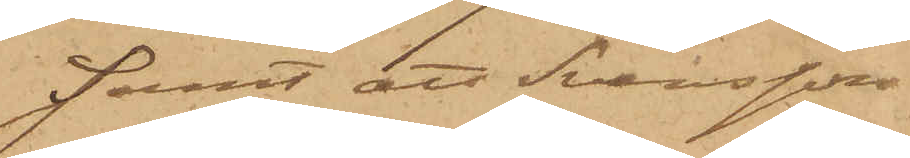samt att Svensson
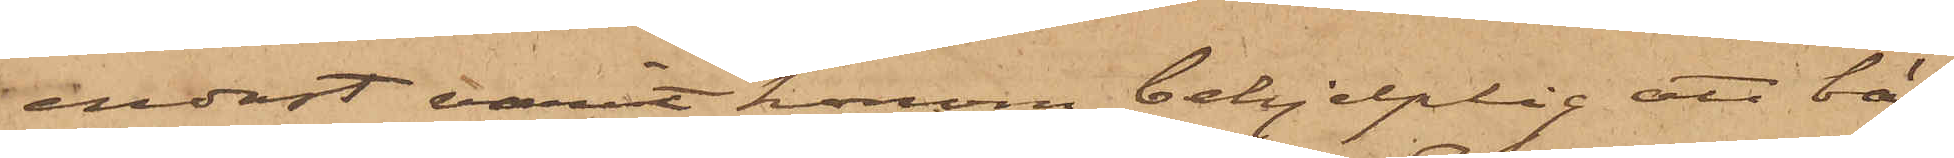endast varit honom behjelplig att bä¬
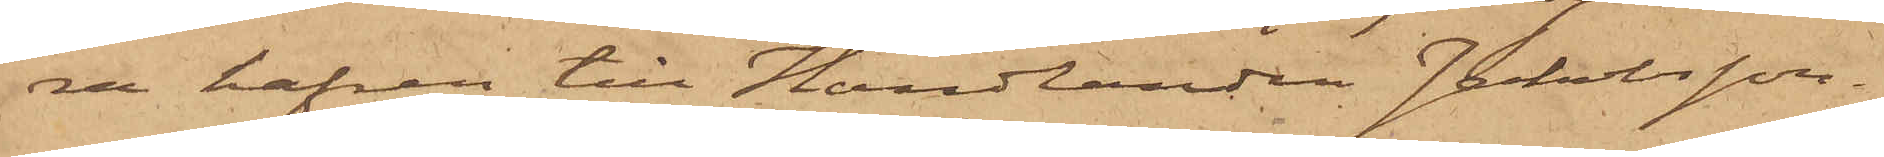ra hafren till Handlanden Jakobsson.
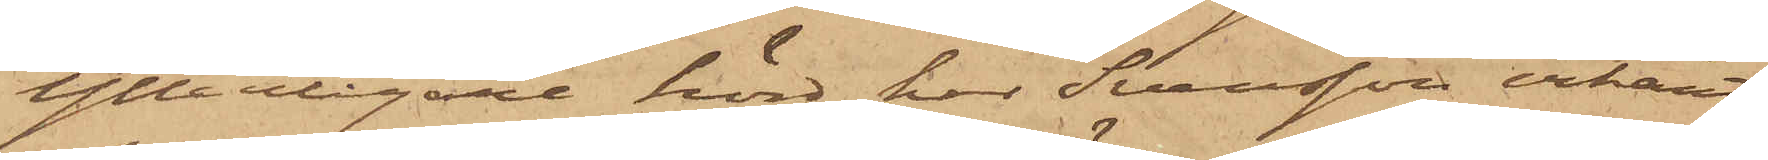Ytterligare hörd, har Svensson erkänt,
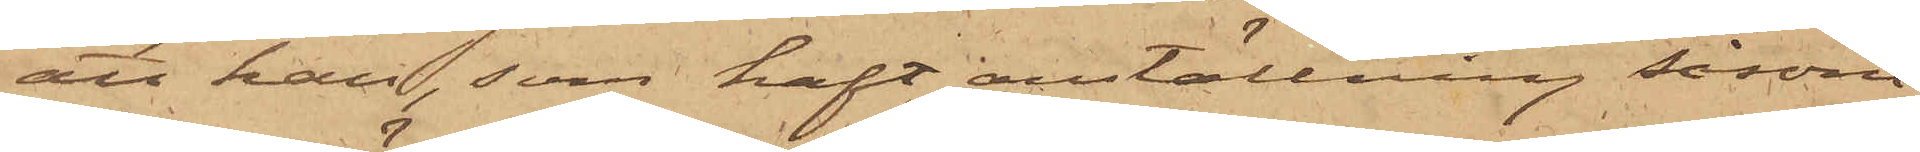att han, som haft anställning såsom
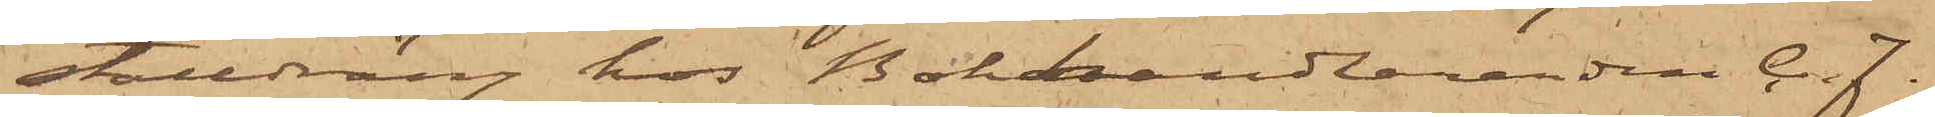stalldräng hos Bokhandlaranden C. J.
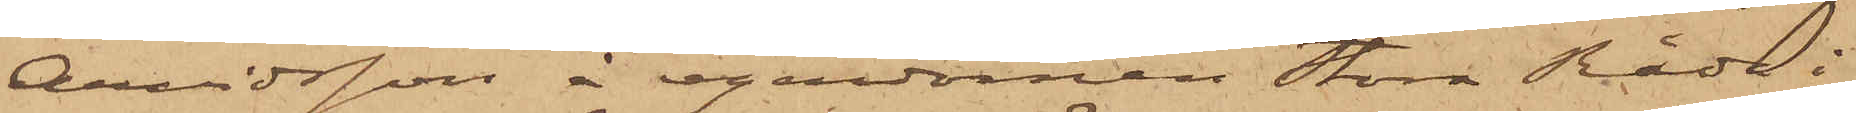Arvidsson å egendomen Stora Råda i
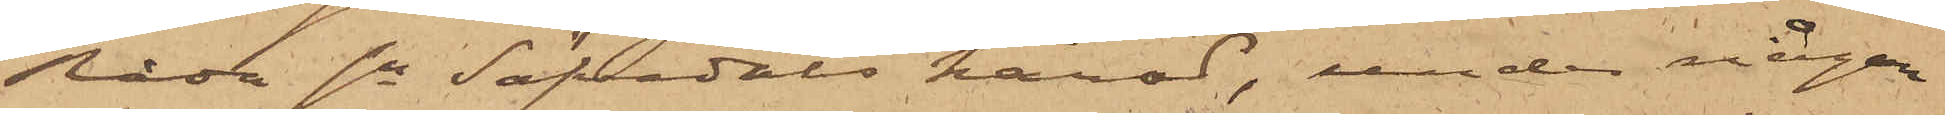Råda sn Säfvedals härad, under någon
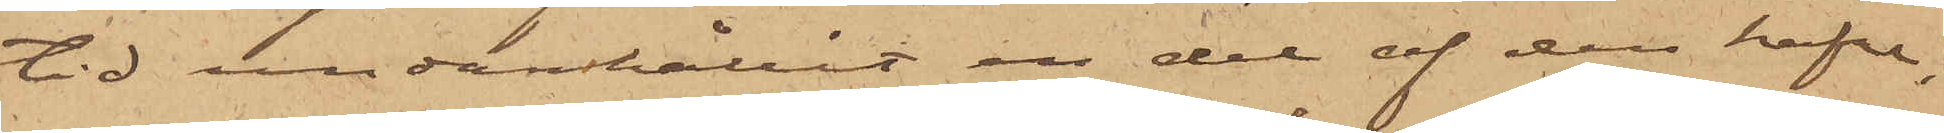tid undanhållit en del af den hafre,
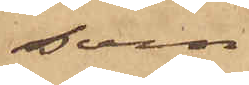som
